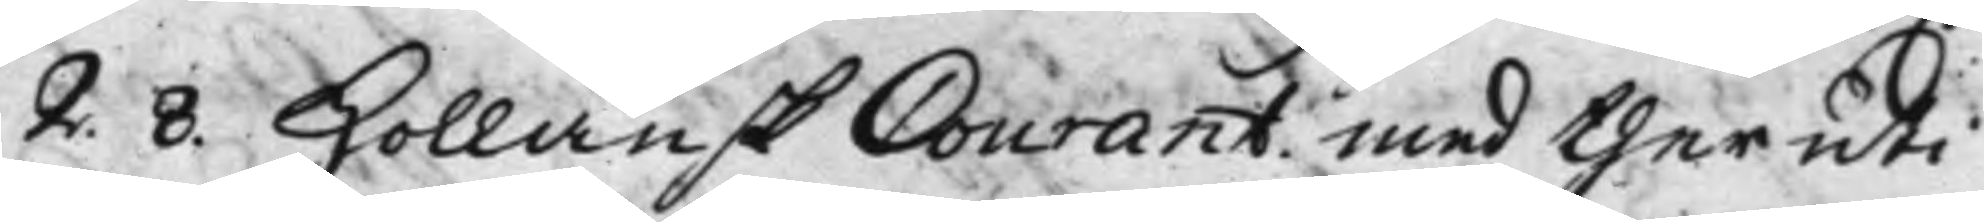2. 8. Hollänsk Courant med ther uti
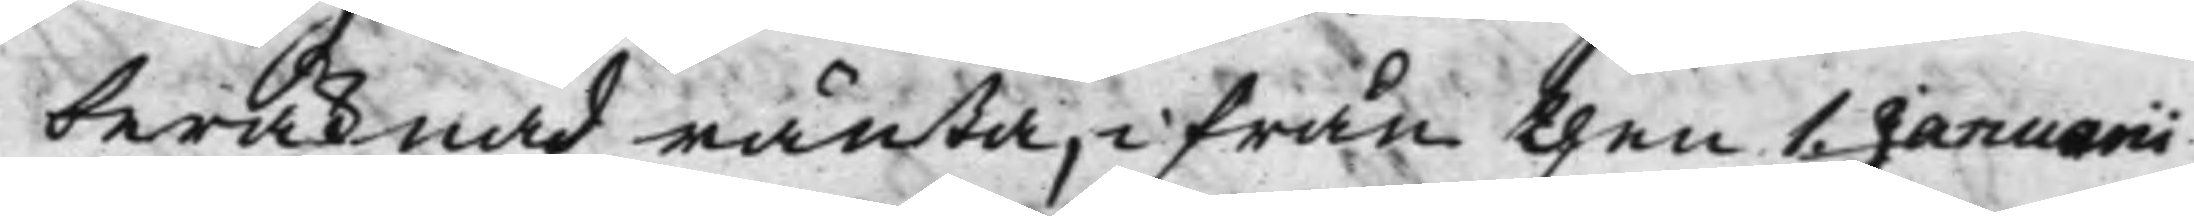beräknad ränta, ifrån then 1. Januarii
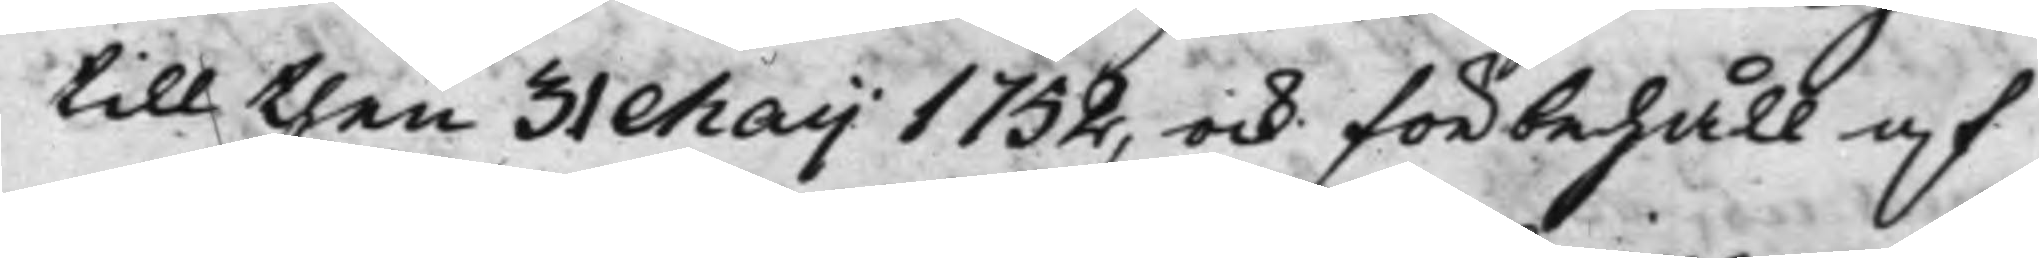till then 31 Maij 1752, ock förbehåll af
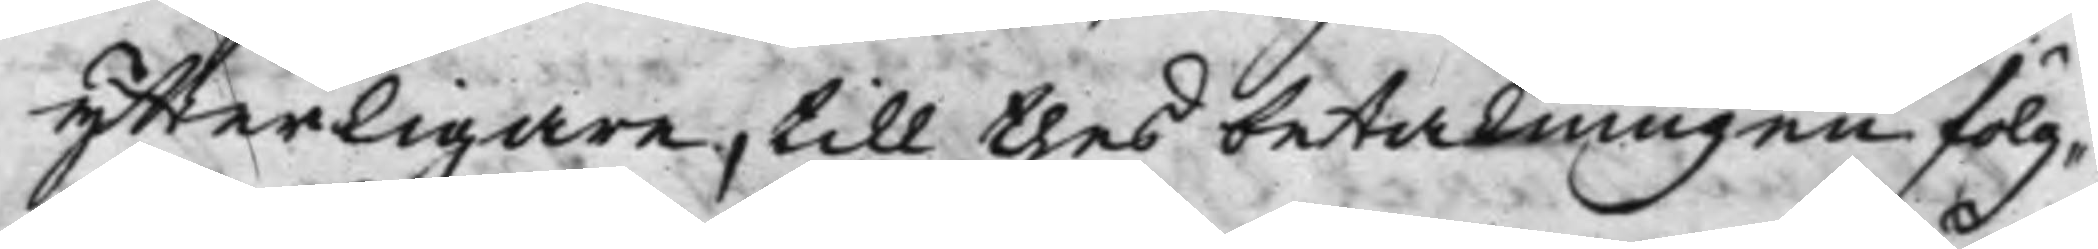ytterligare, till thes betalningen fölg¬
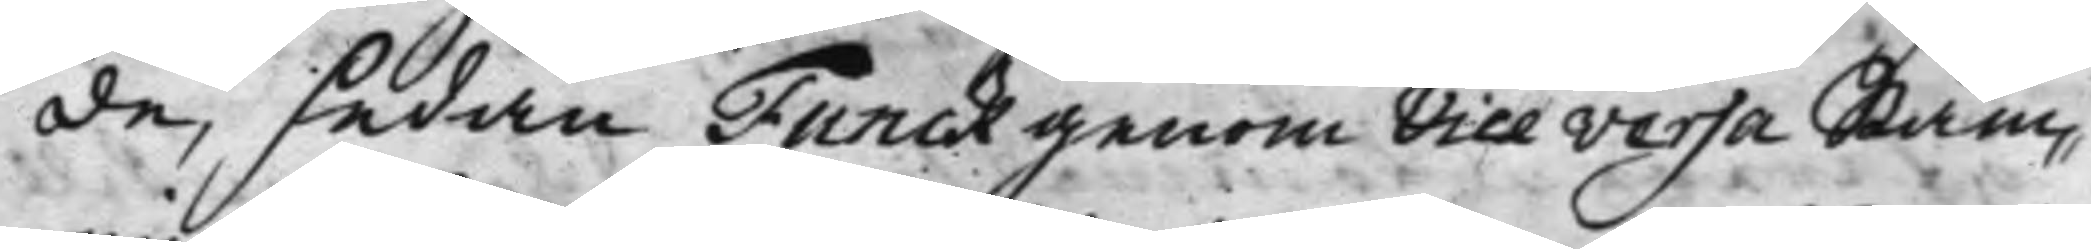de, sedan Funck genom Vice versa Stäm¬
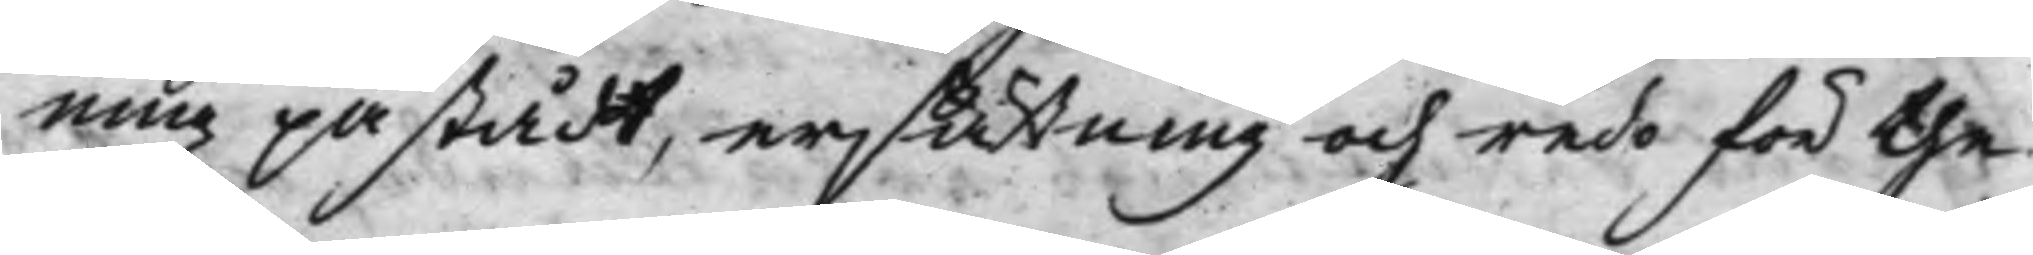ning påstådt, ersättning och redo för the
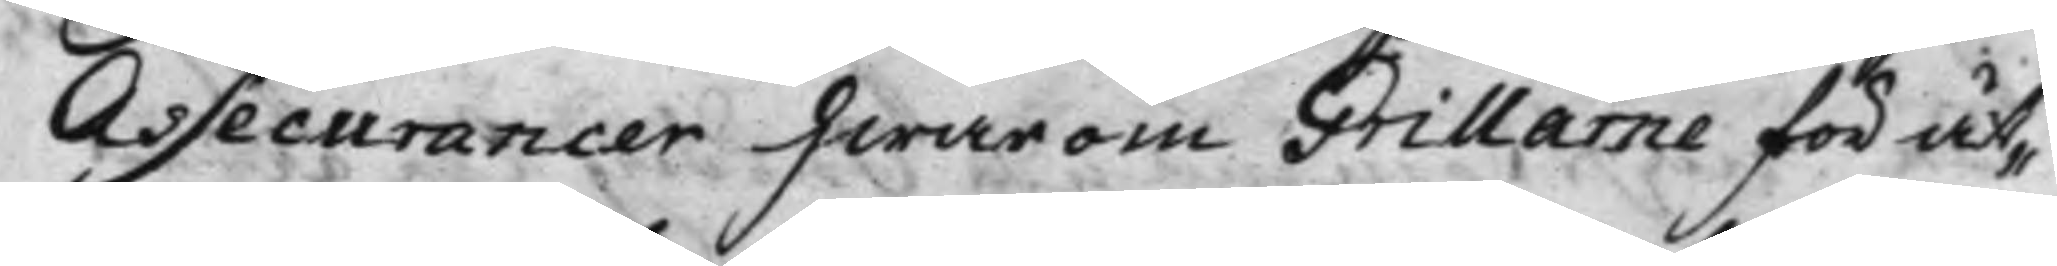Assecurancer hwarom Grillarne för åt¬
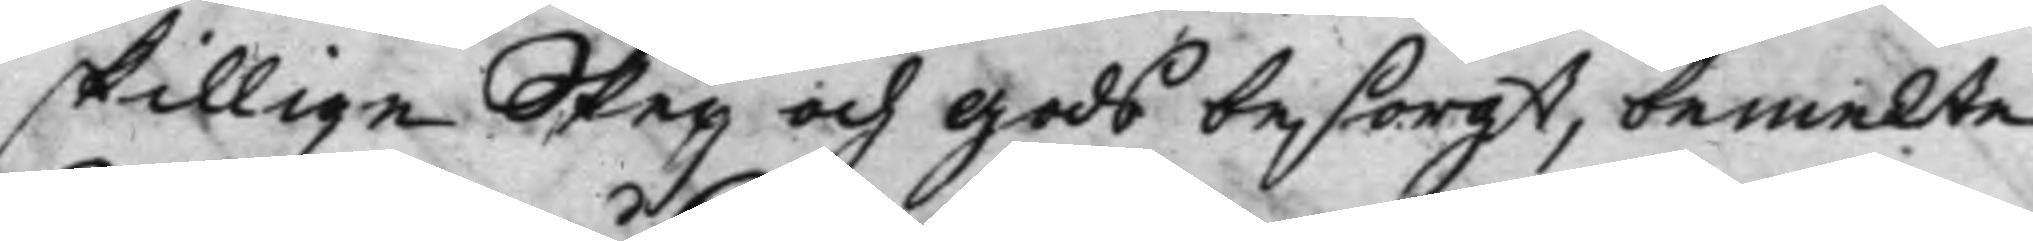skillige Steg och Gods besörgt, bemelte
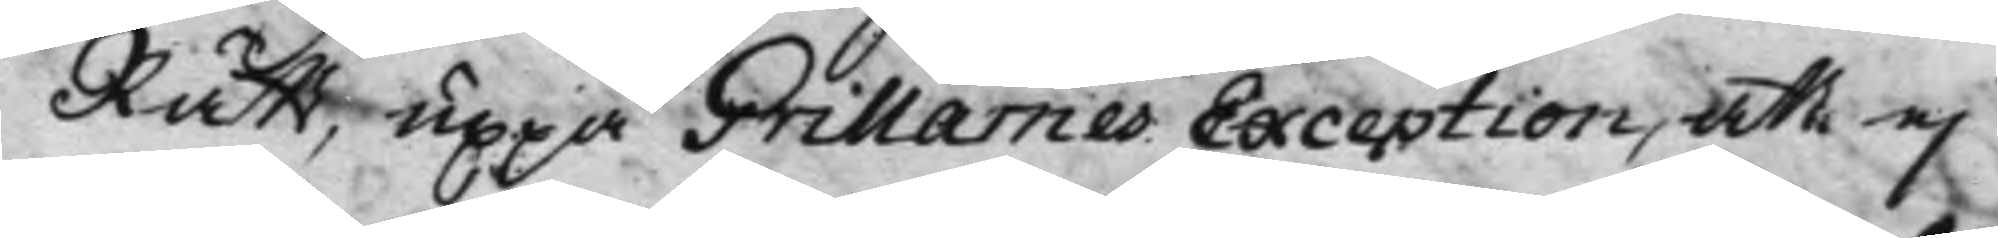Rätt, uppå Grillarnes Exception, att ej
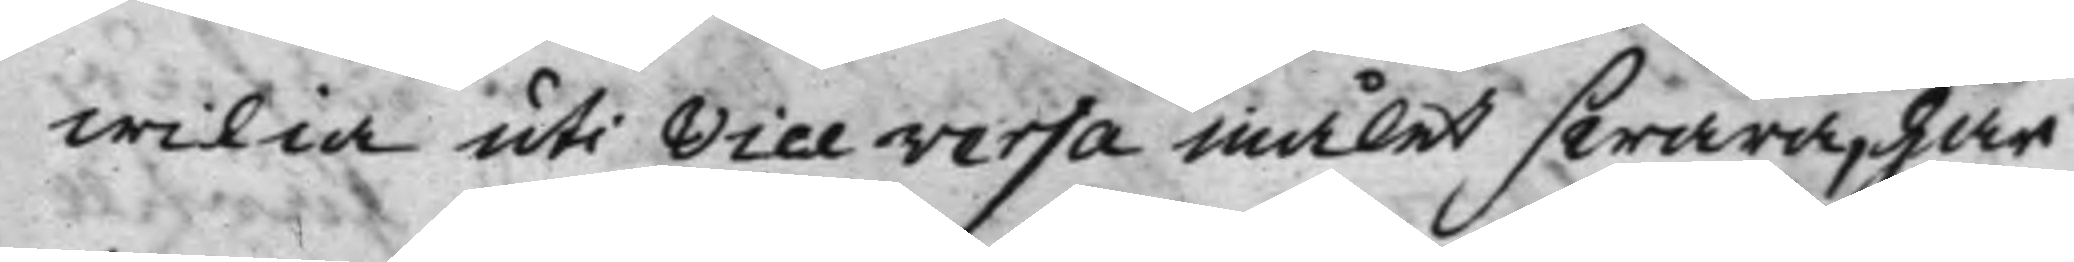wilia uti Vice versa målet swara, har
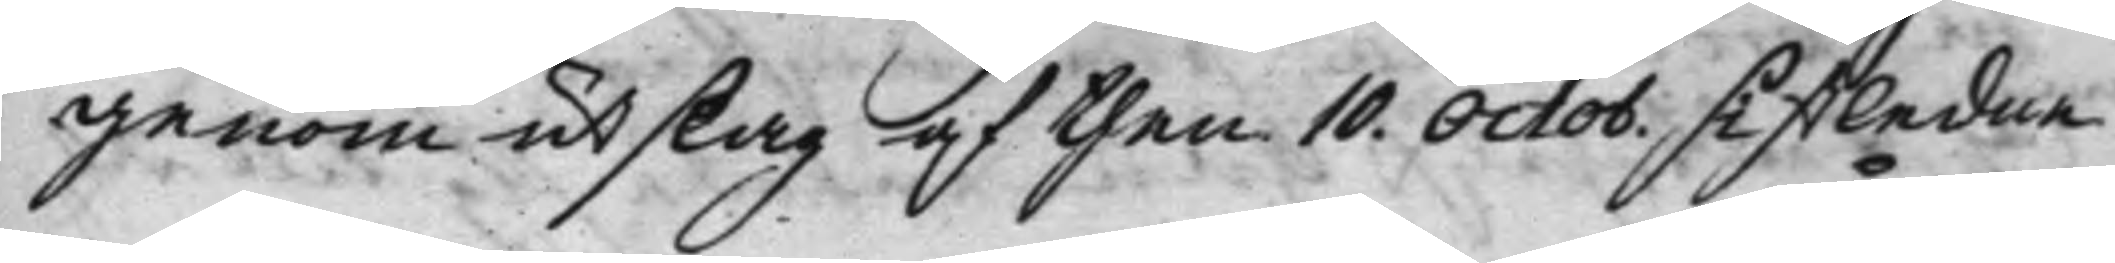genom utslag af then 10. Octob. sistledne
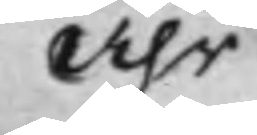Åhr
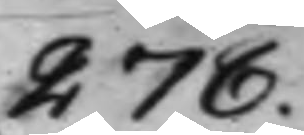278.
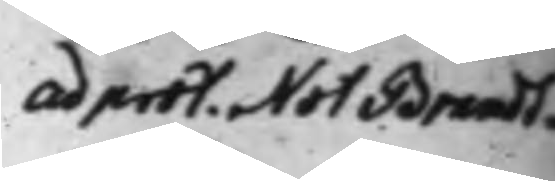ad prot. Not: Brandt¬
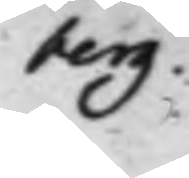berg.
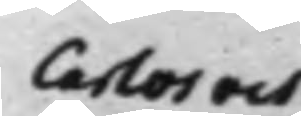Carlos och
